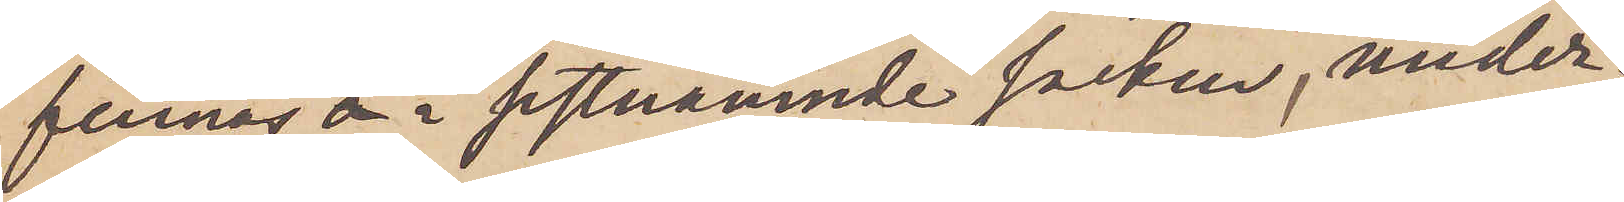finnas i sistnämnde socken, under¬
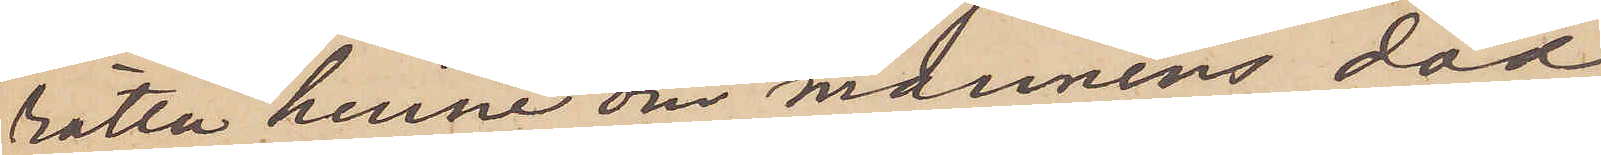rätta henne om mannens död
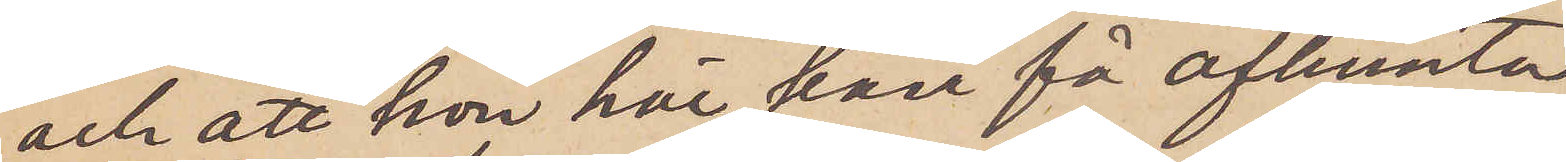och att hon här kan få afhemta
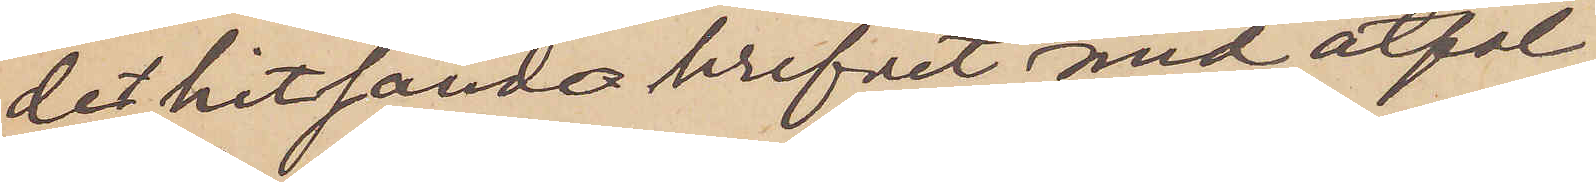det hitsända brefvet med åtföl¬
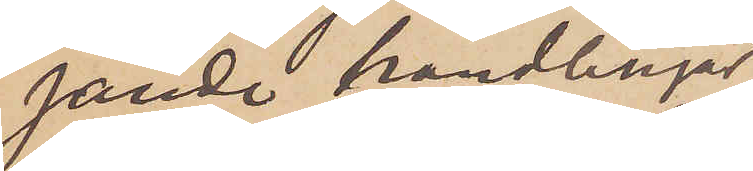jande handlingar.
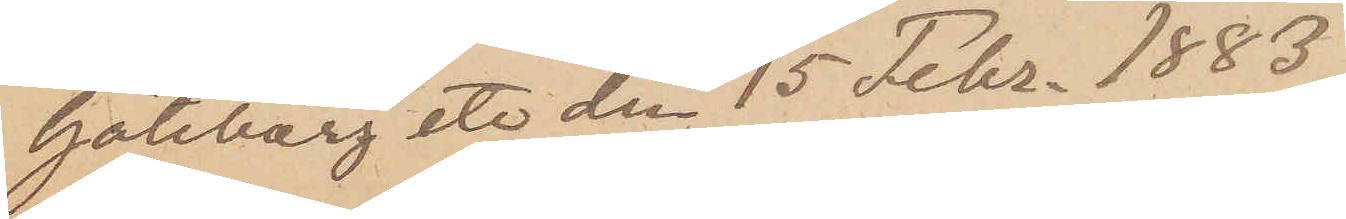Göteborg etc den 15 Febr. 1883.
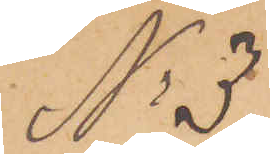No 3
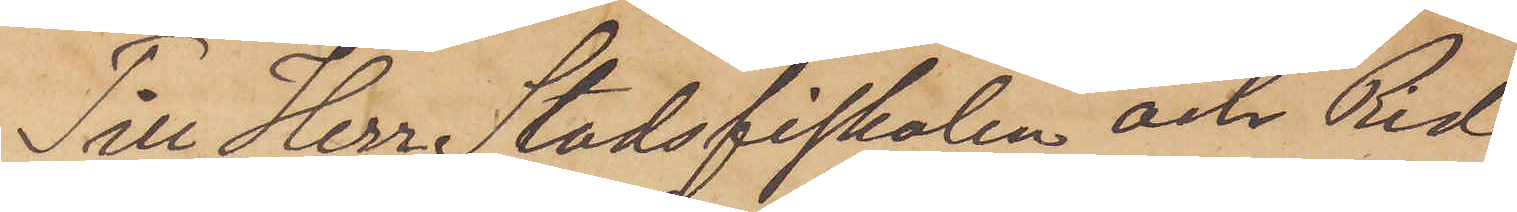Till Herr Stadsfiskalen och Rid¬
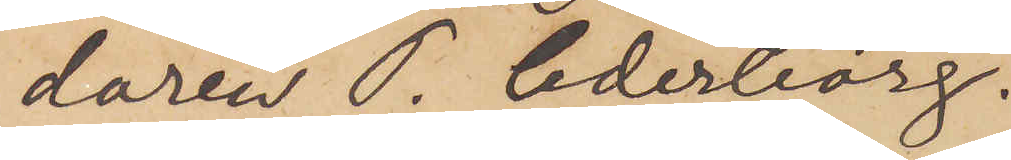daren P. Cederborg.
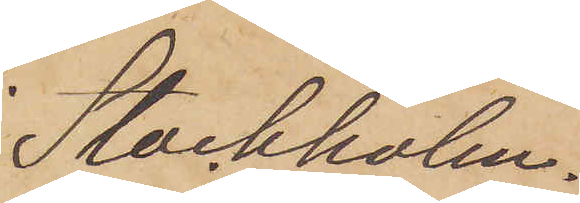Stockholm.
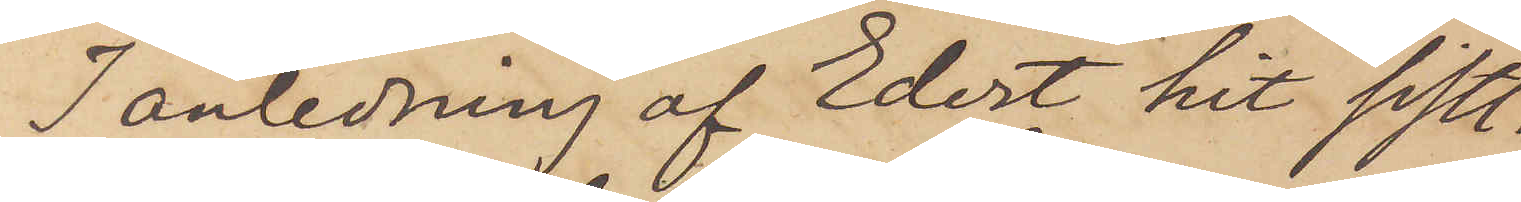I anledning af Edert hit sistl.
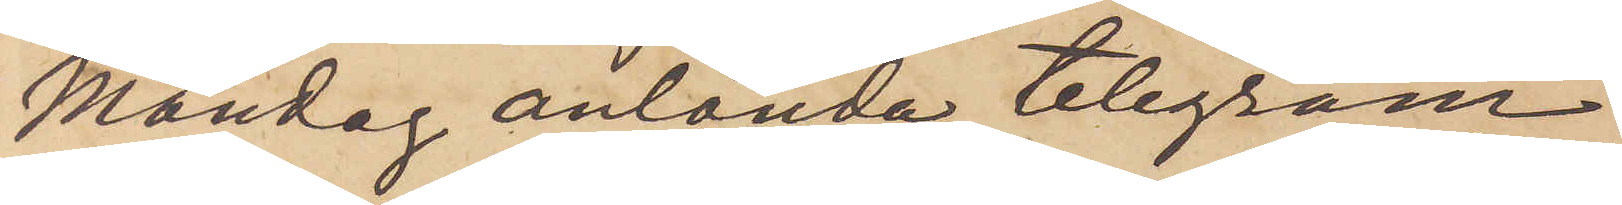Måndag anlända telegram
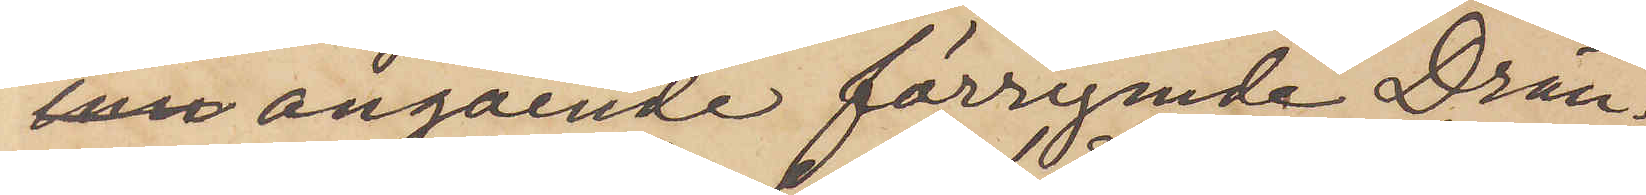 angående förrymde Drän¬
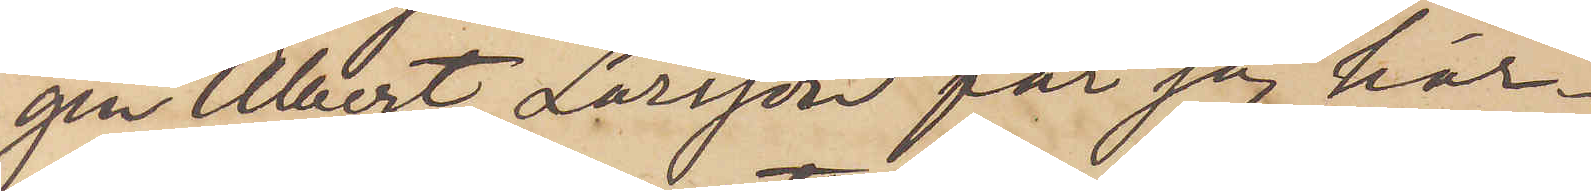gen Albert Larsson får sig här¬
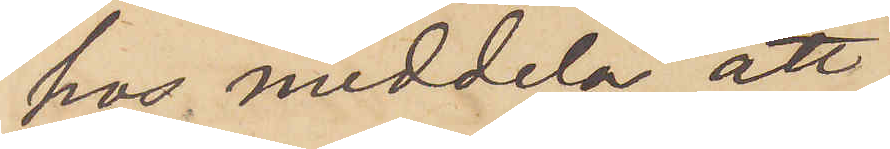hos meddela att
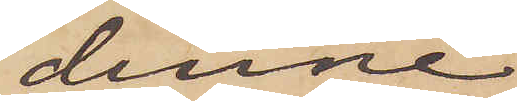denne
